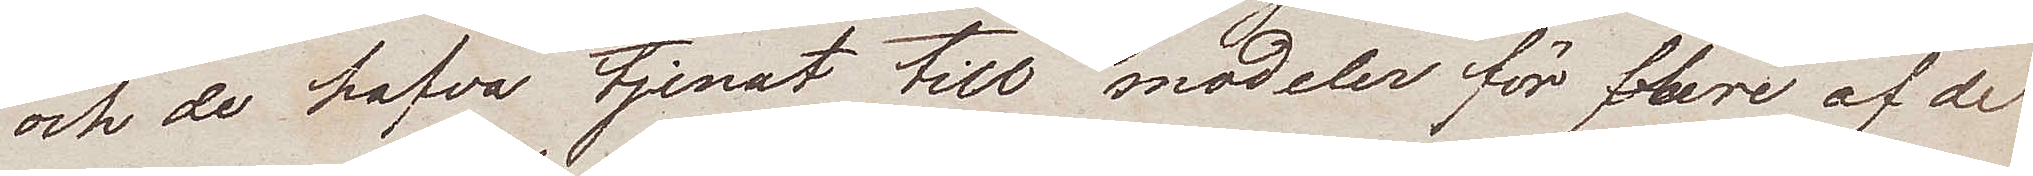och de hafva tjenat till modeler för flere af de
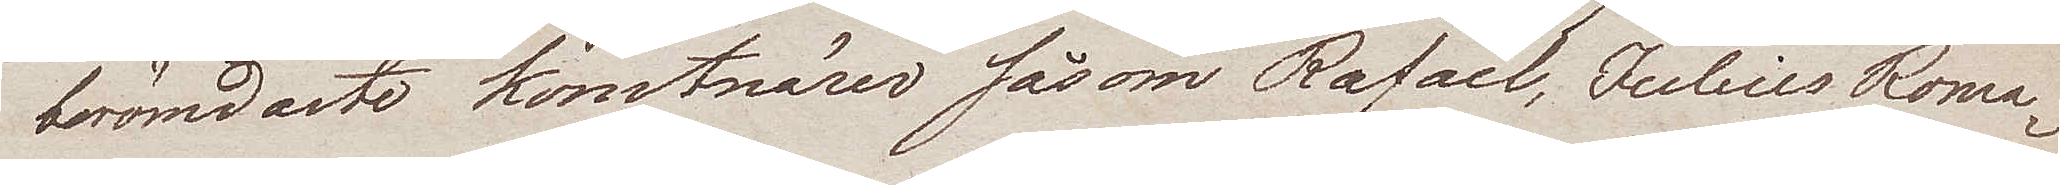berömdaste komtnärer såsom Rafael, Julius Roma¬
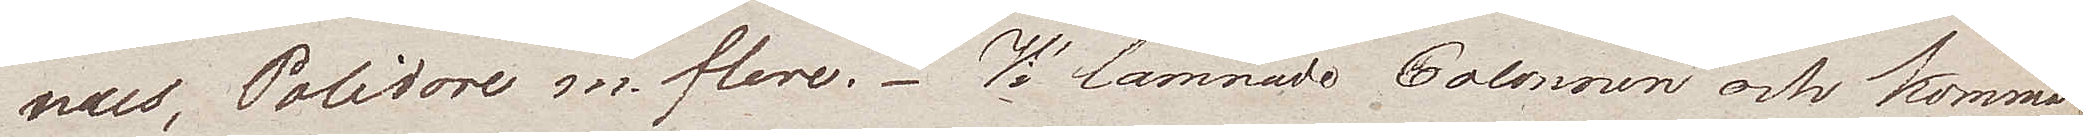nus, Polidore m. flere. Vi lämnade Colonnen och komma
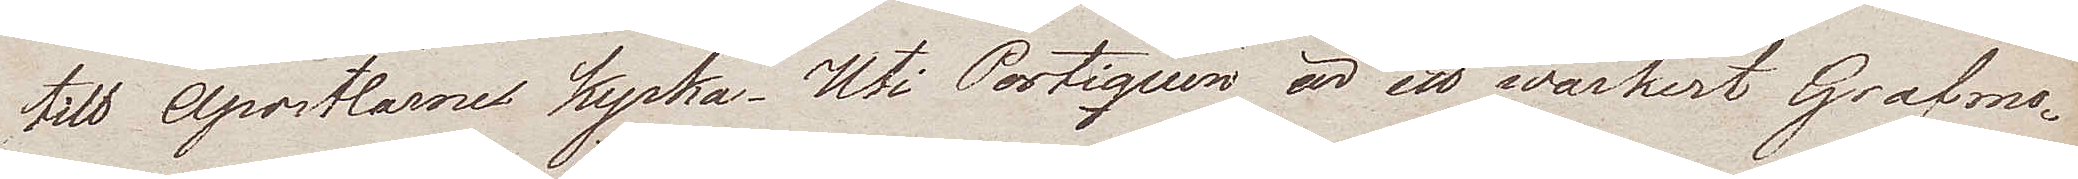till Apostlarnes kyrka. Uti Portiquen är ett wackert Grafmo¬
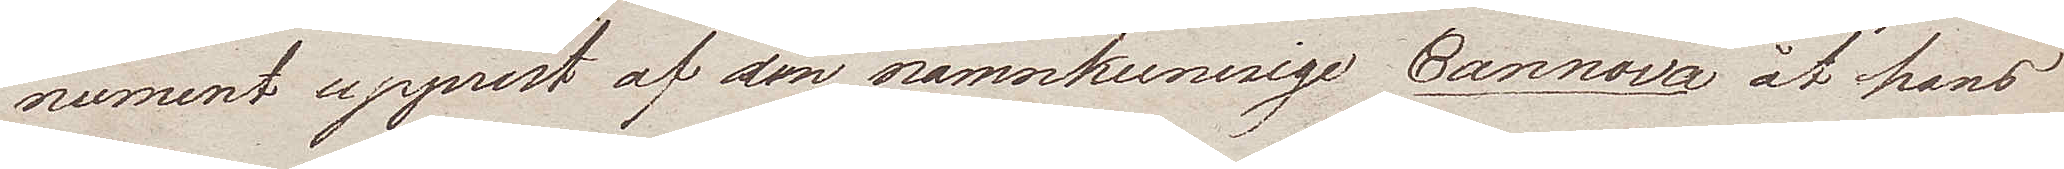nument upprest af den namnkunnige Cannova åt hans
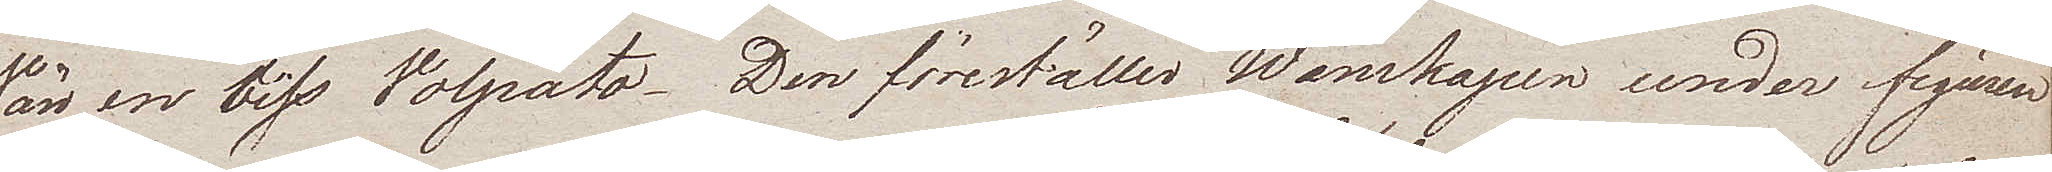Vän en viss Volpato. Den föreställer Wänskapen under figuren
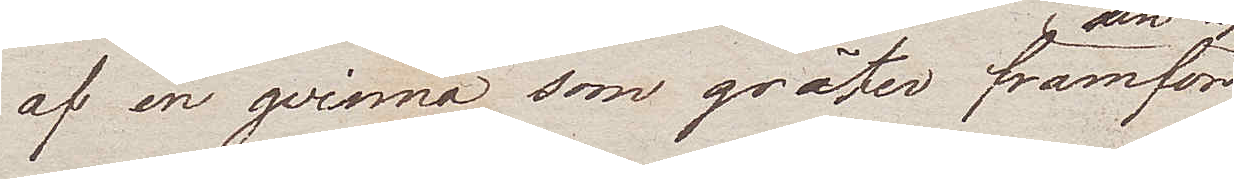af en qvinna som gråter framför
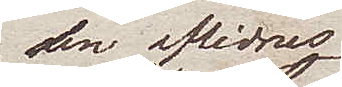den aflidnes
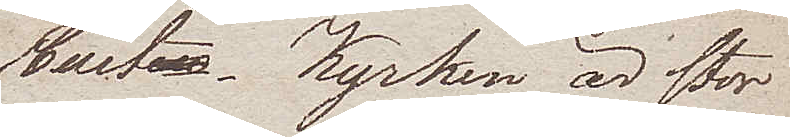bust. Kyrkan är stor
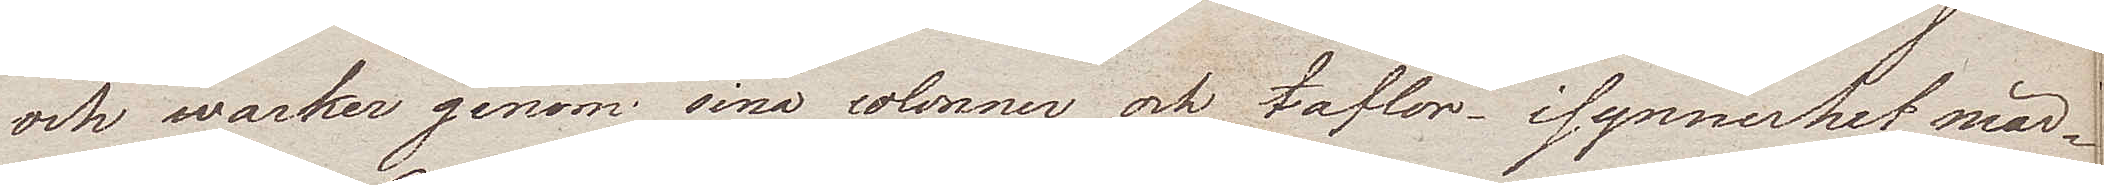och wacker genom sina colonner och taflor i synnerhet mär¬
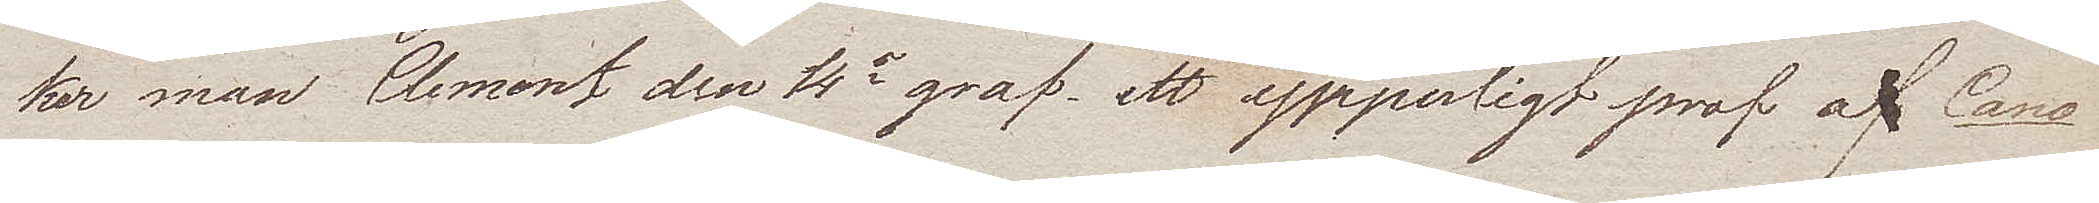ker man Clement den 4de graf, ett ypperligt prof af Cano¬
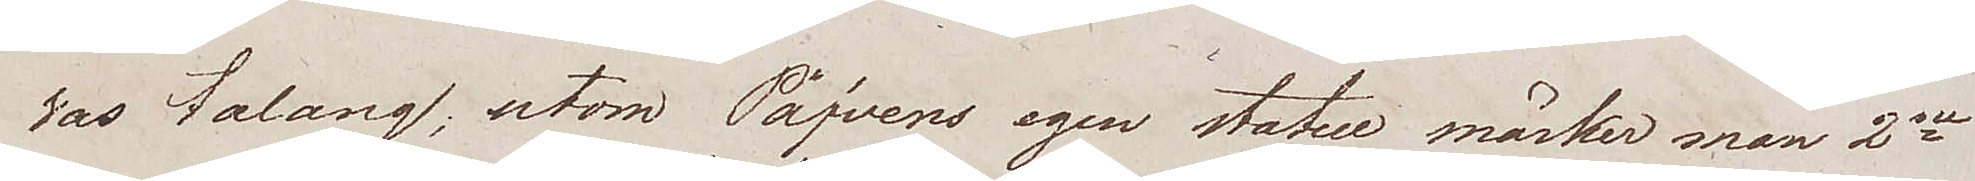vas talang; utom Påfvens egen statue märker man 2ne
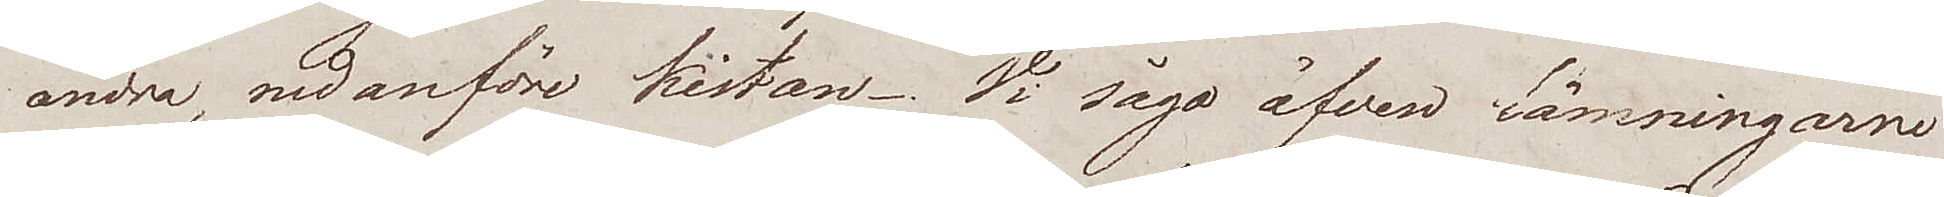andra, nedanföre kistan. Vi sågo äfven lämningarne
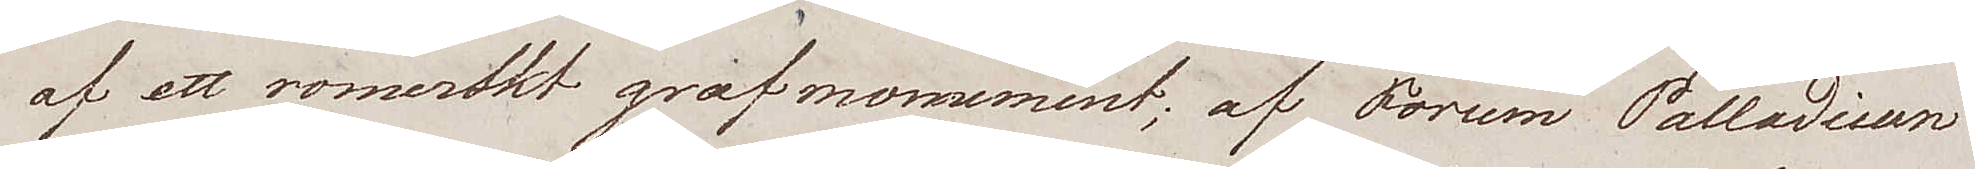af ett romerskt grafmomement; af Forum Palladium
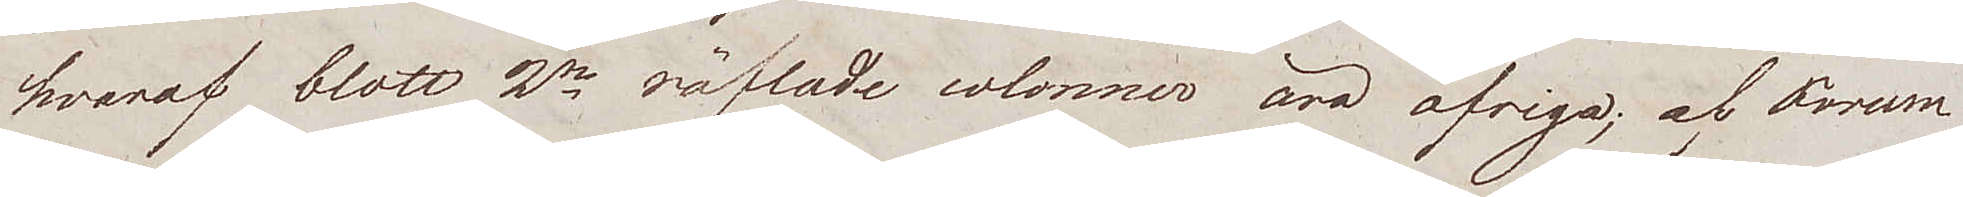hvaraf blott 2ne räfflade colonner äro öfriga; af Forum
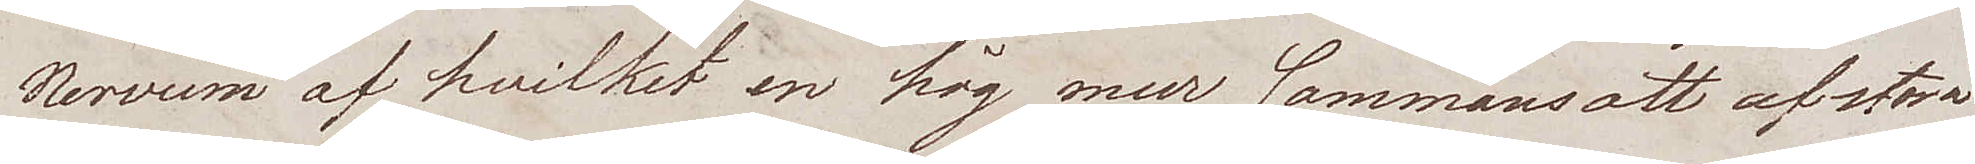Nervum af hvilket en hög mur sammansatt af stora
